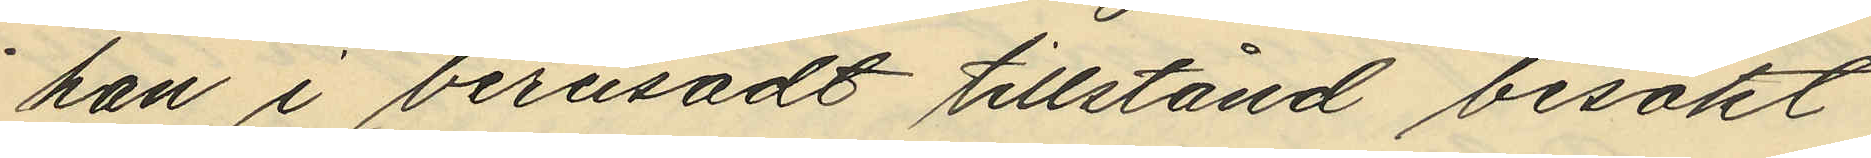han i berusadt tillstånd besökt
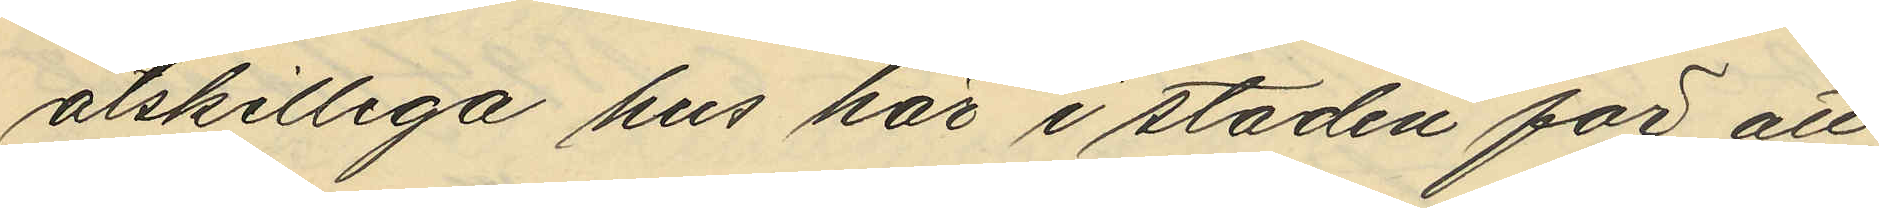åtskilliga hus här i staden för att
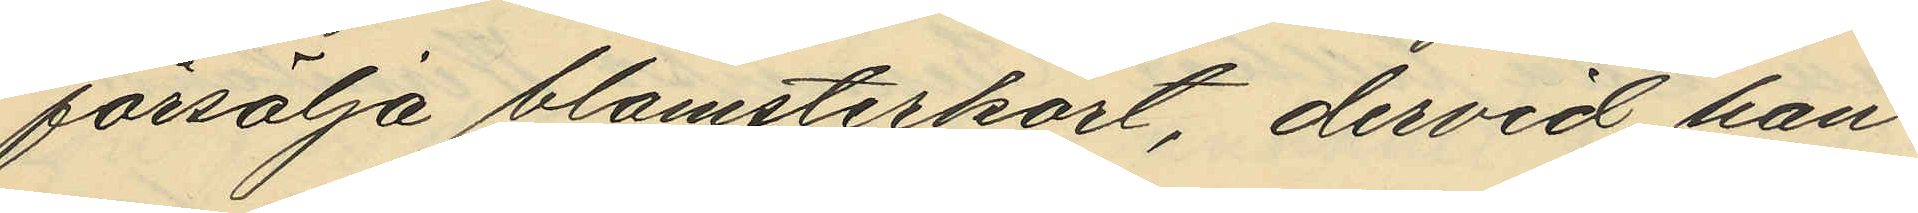försälja blomsterkort, dervid han
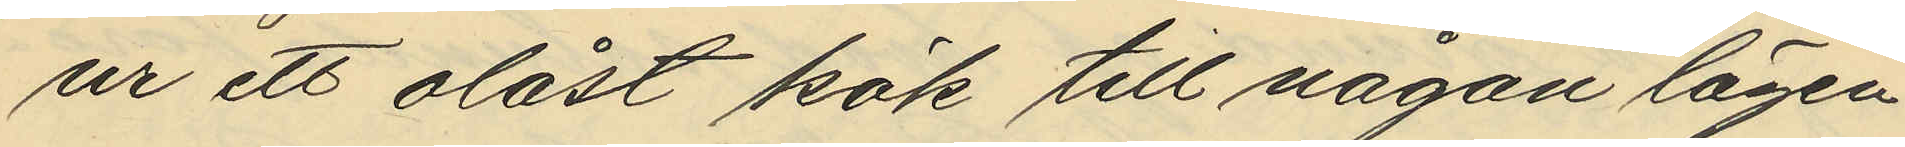ur ett olåst kök till någon lägen¬
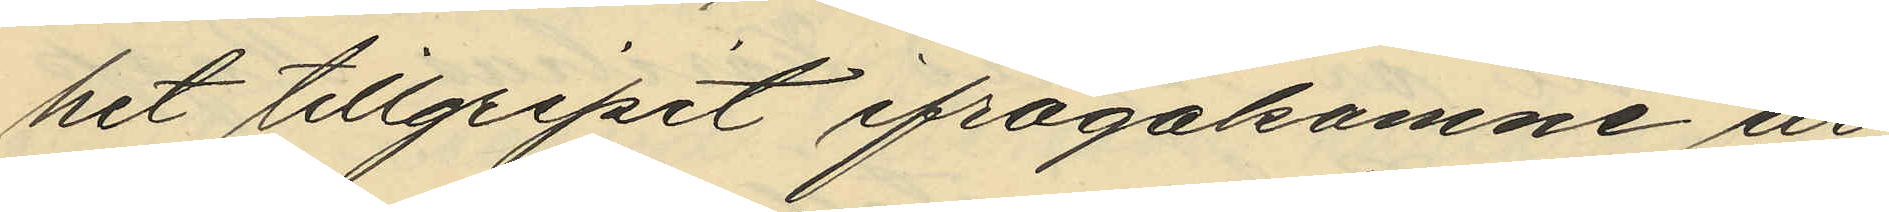het tillgripit ifrågakomne ur
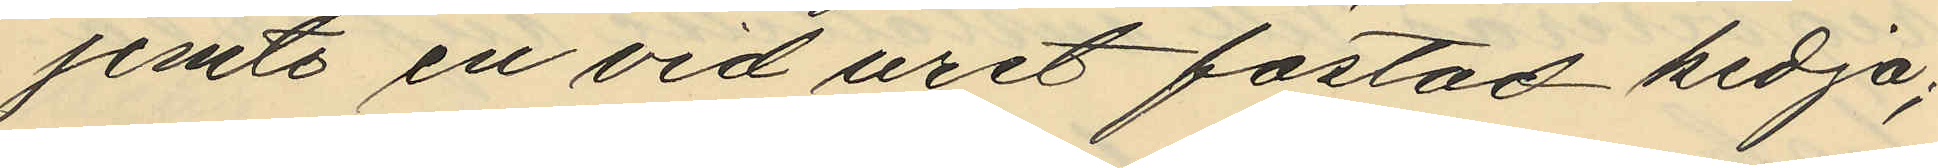jemte en vid uret fästad kedja;
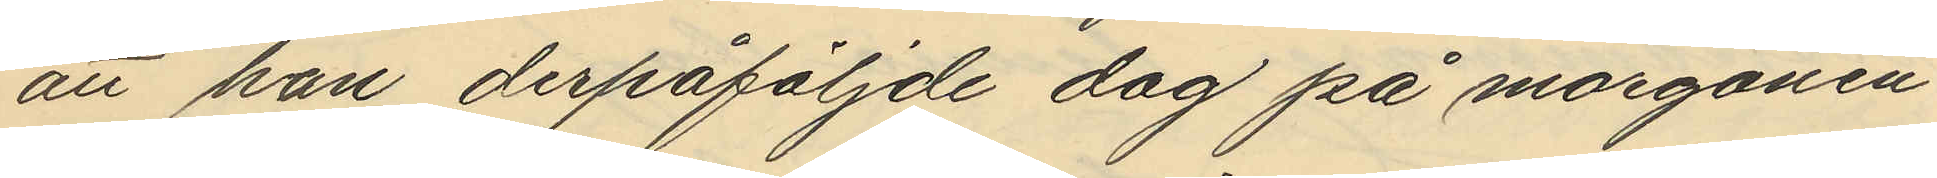att han derpåföljande dag på morgonen
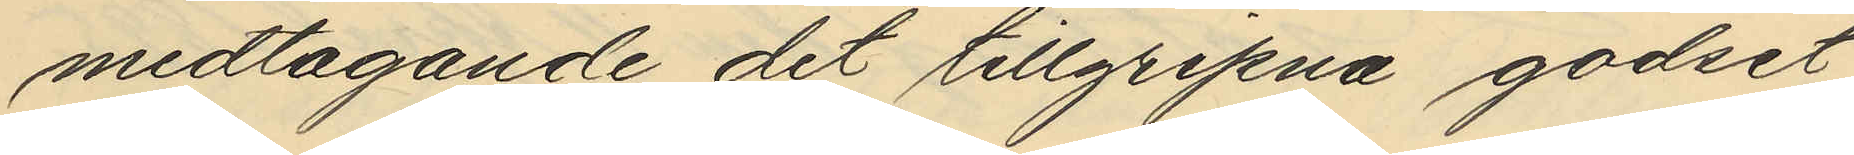medtagande det tillgripna godset
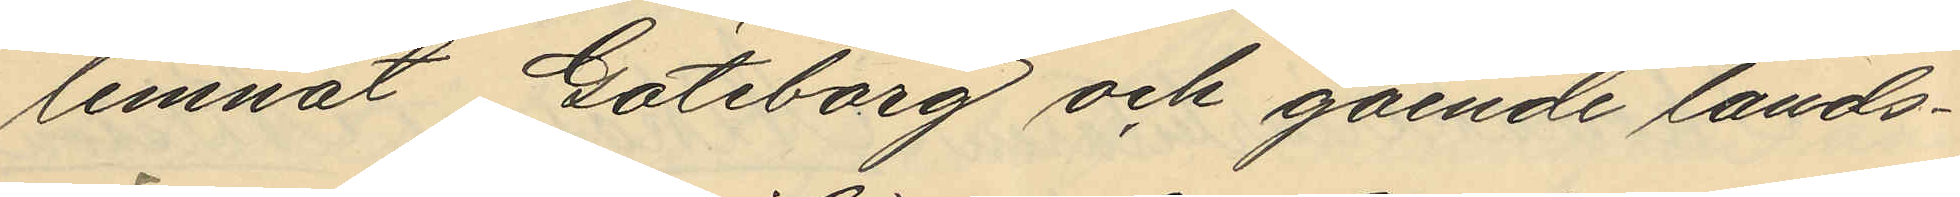lemnat Göteborg och gående lands¬
